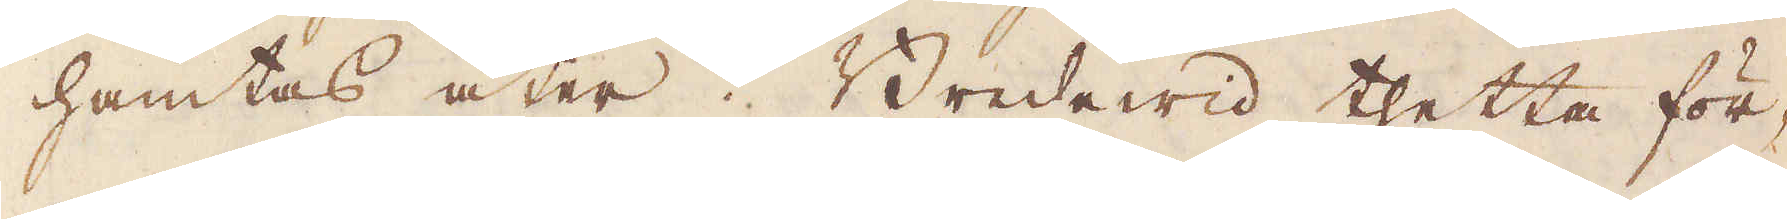hämtas åter. Bredewid thetta för-
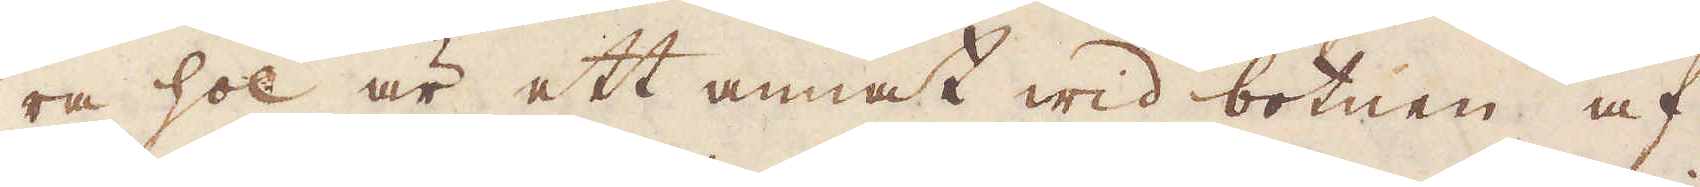ra hol är ett annat wid botnen af
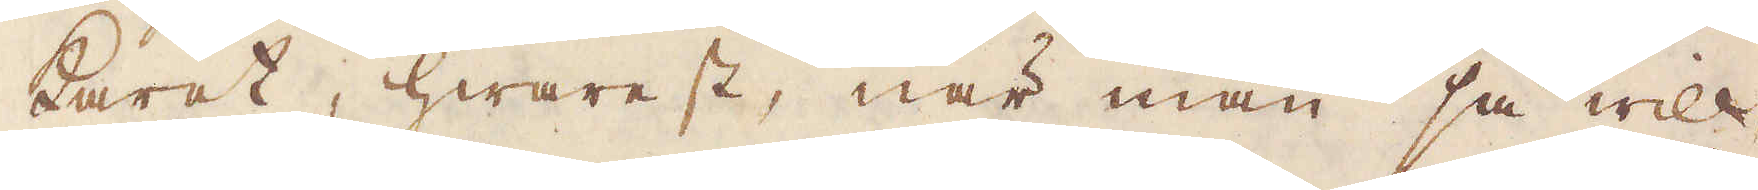karet, hwarest, när man så will
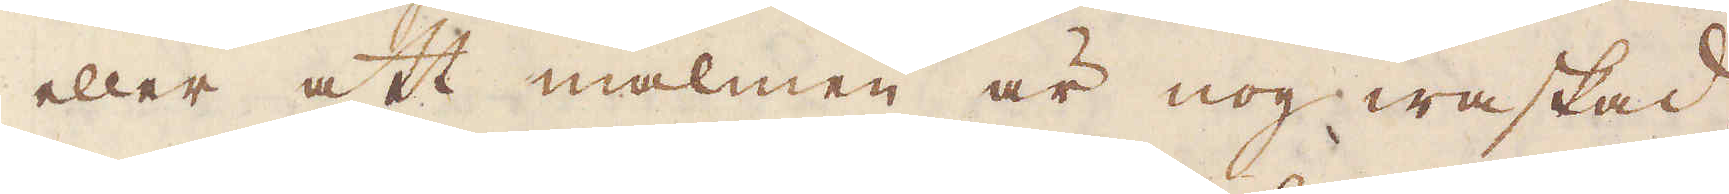eller att malmen är nog waskad,
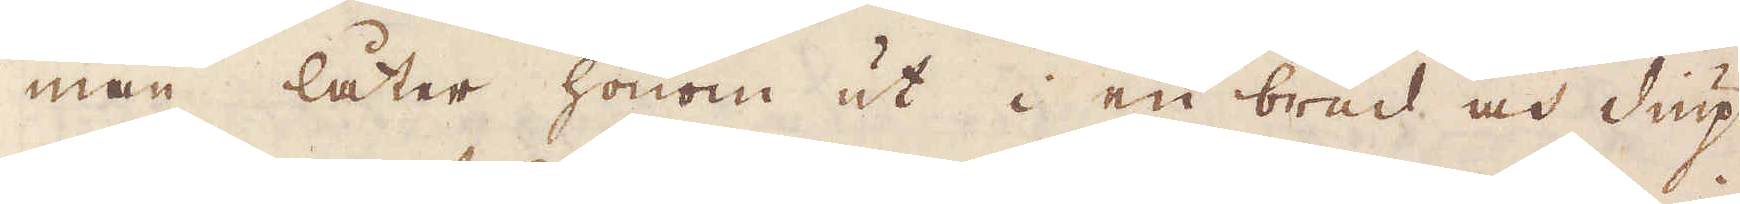man låter honom ut i en bred och diup
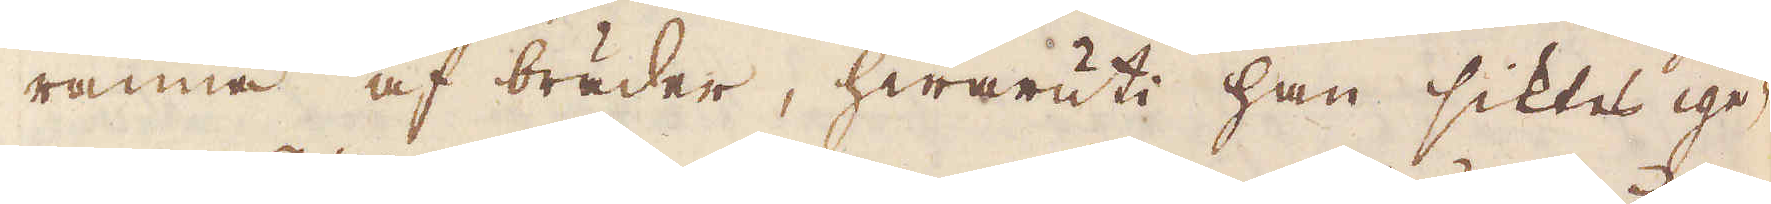ränna af bräder, hwaruti han siktes ige-
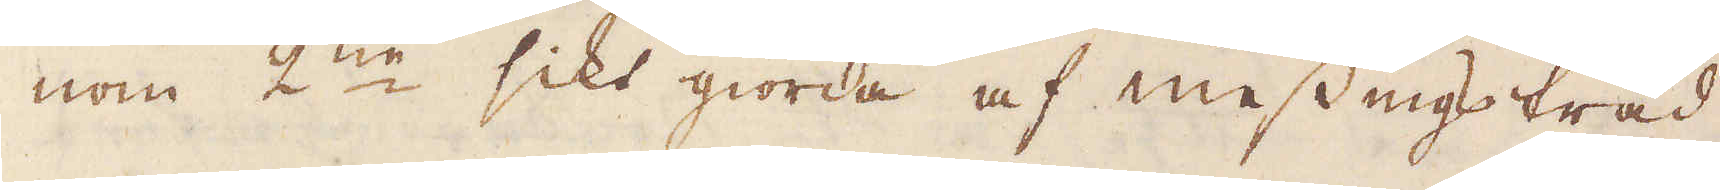nom 2:ne sikt giorda af messingstråd.
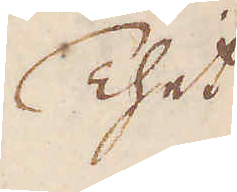Thet
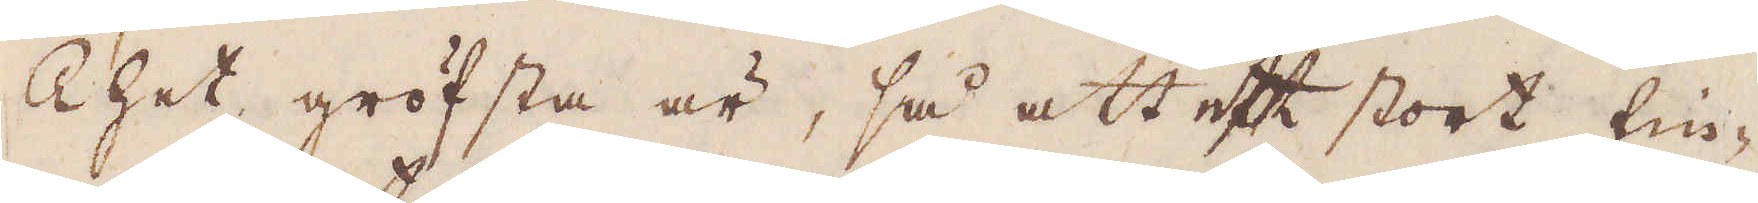Thet gröfsta är, så att ett stort fin-
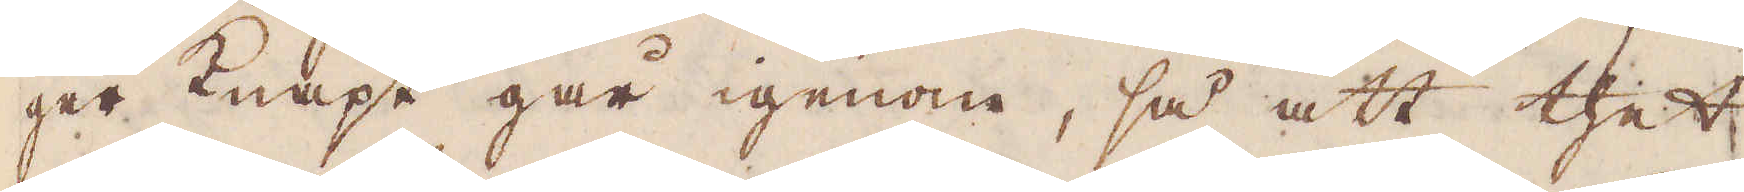ger knapt går igenom, så att thet
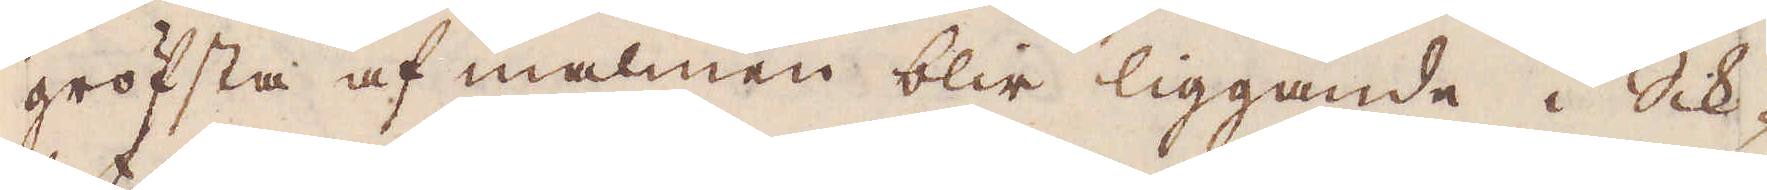gröfsta af malmen blir liggande i Sik-
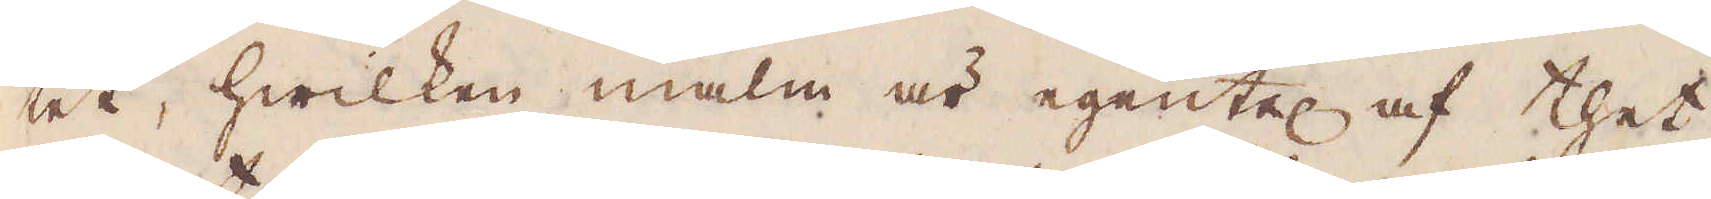tet, hwilken malm är egentel af thet
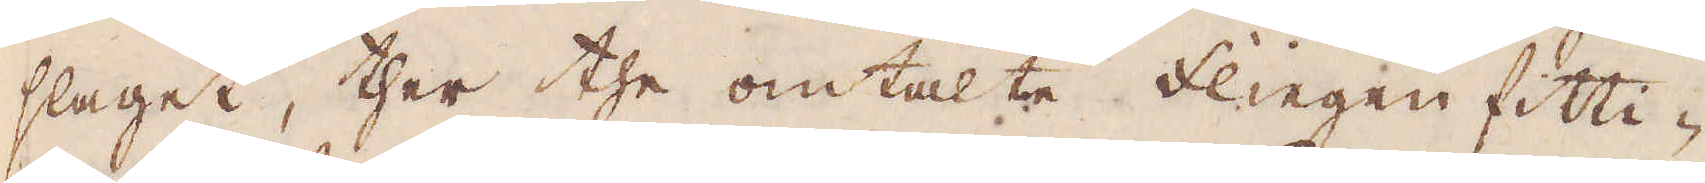slaget, ther the omtalte flingen fitti-
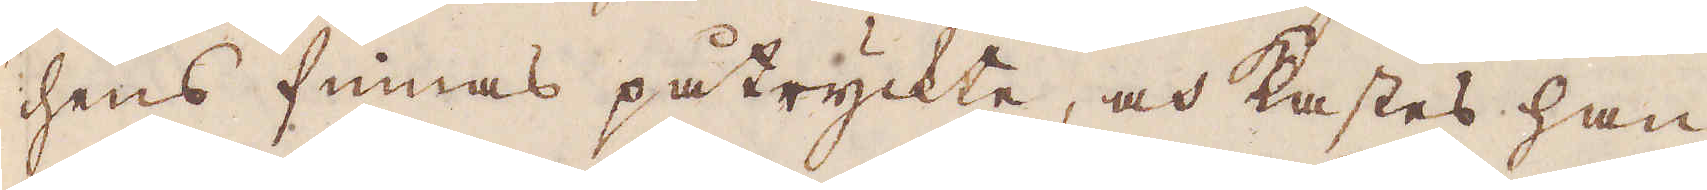chens finnas påtryckte, och kastes han
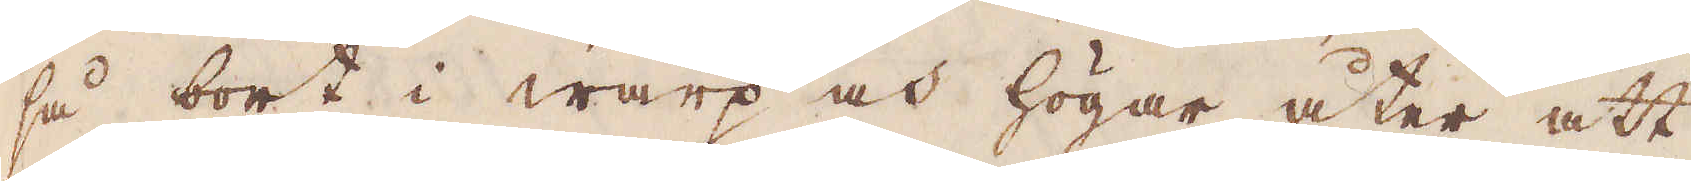så bort i warp och högar åter att
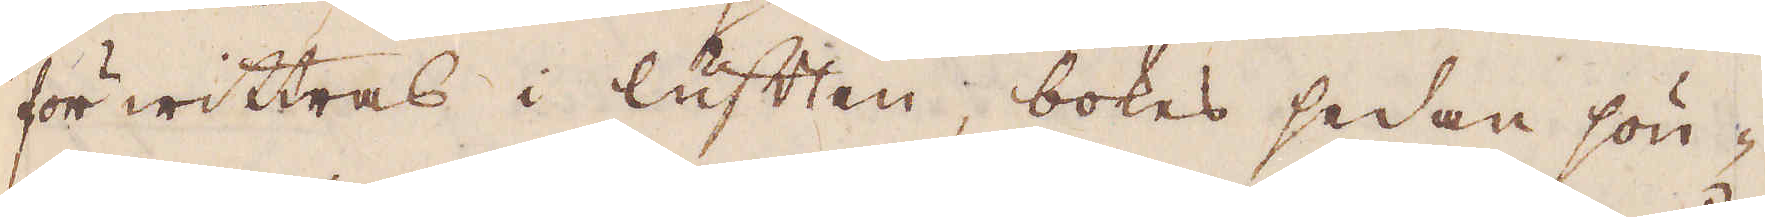för wittras i luften, bokas sedan sön-
